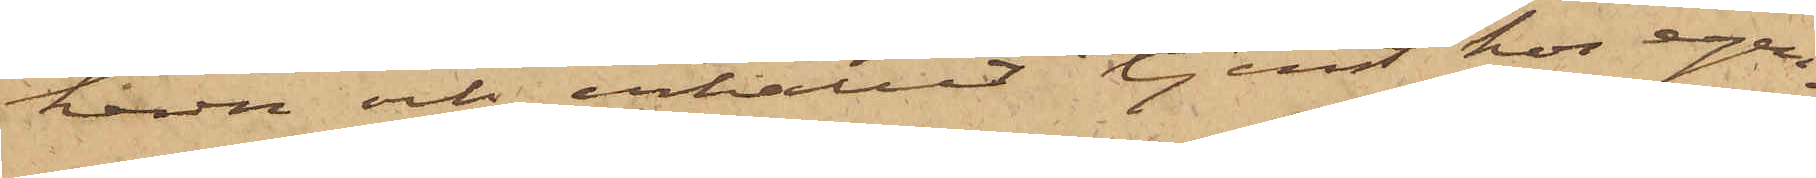havn och erhållit tjenst hos egen¬
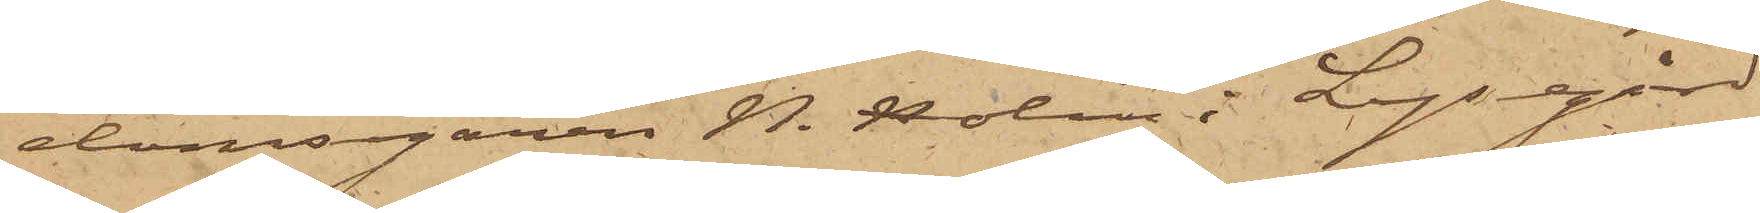domsegaren N. Holm i Lysegård
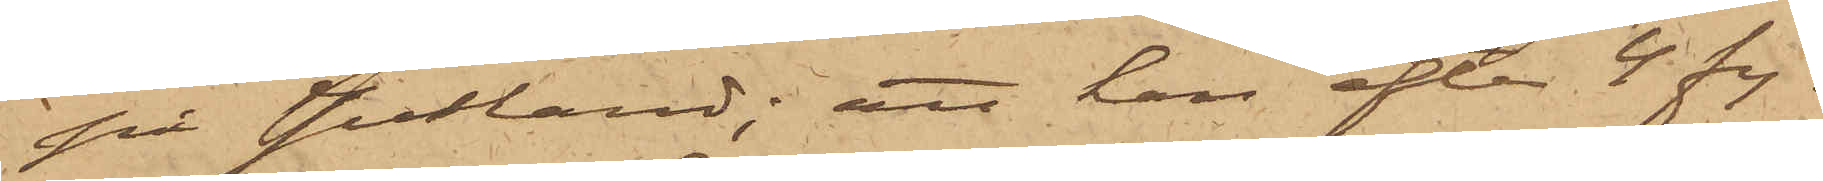på Jutland; att han efter 4 fy¬
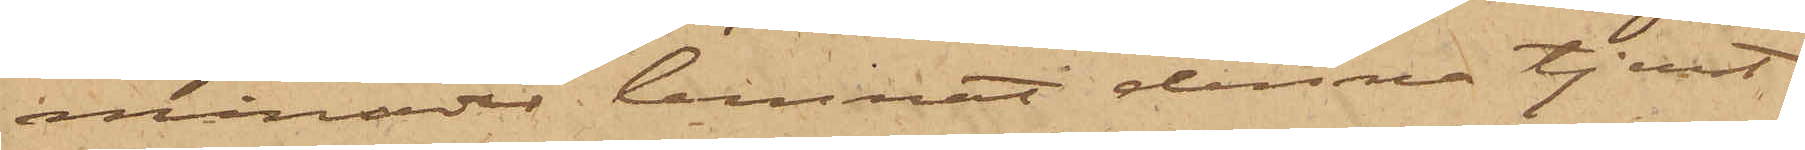månader lemnat denna tjenst
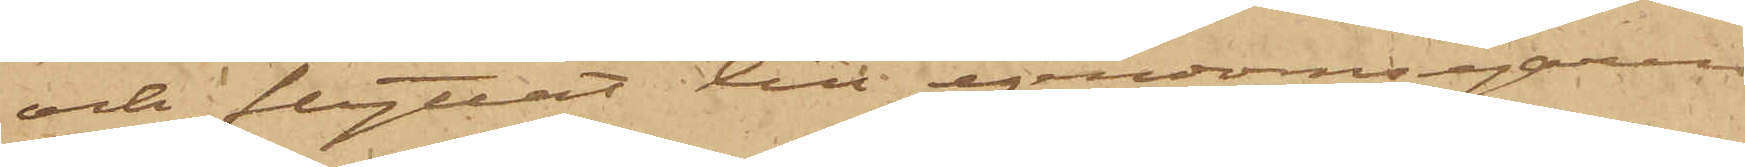och flyttat till egendomsegaren
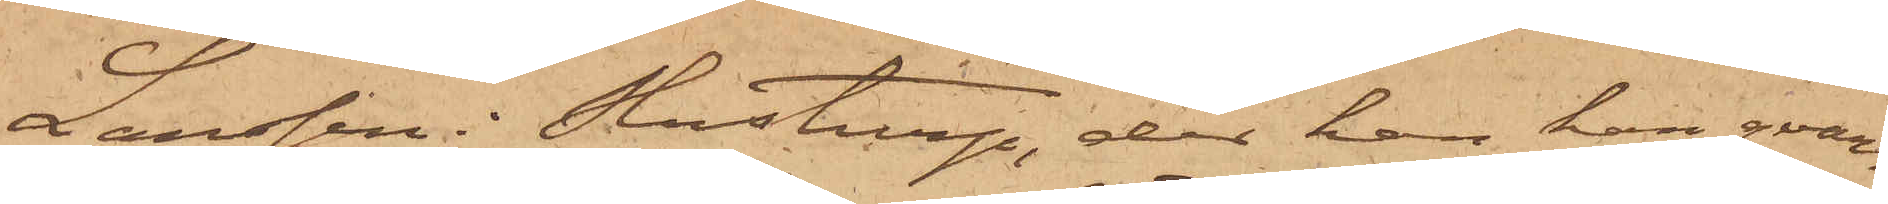Larsson i Slustrup, der han har qvar¬
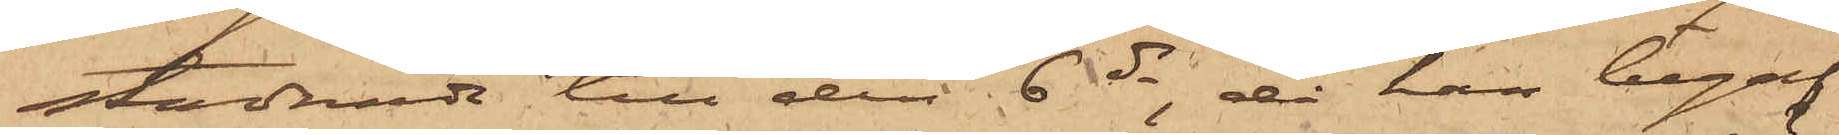stadnade till den 6 ds, då han begaf
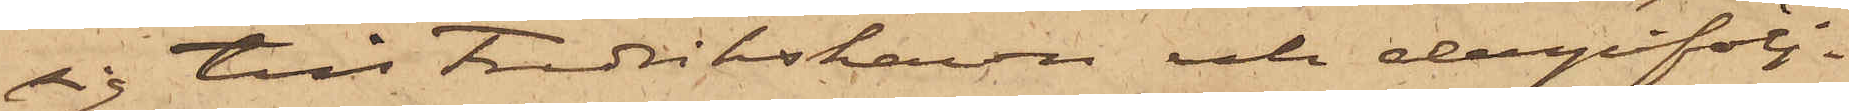sig till Fredrikshavn och derpåfölj¬
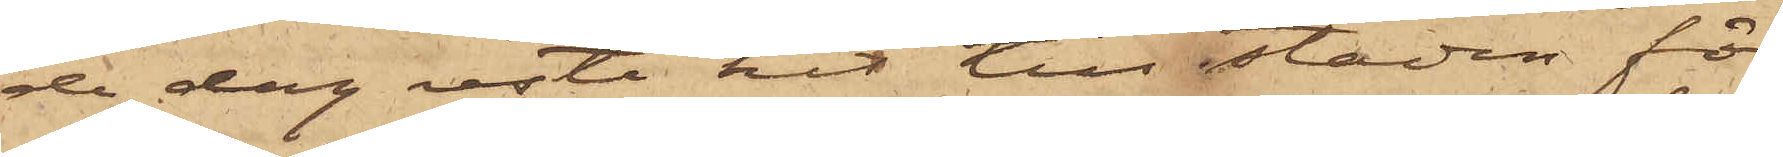de dag reste hit till staden för
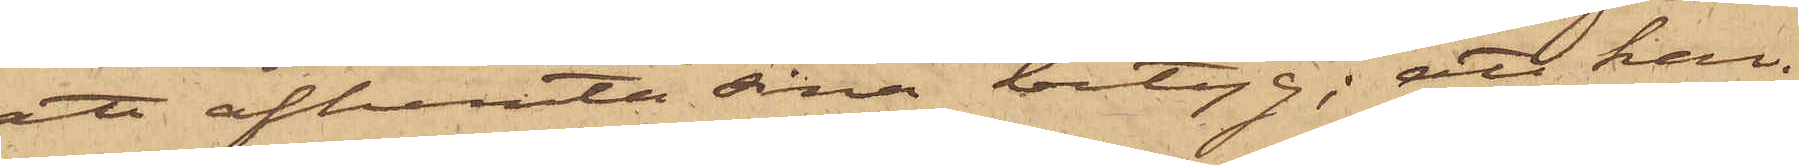att afhemta sina betyg; att han
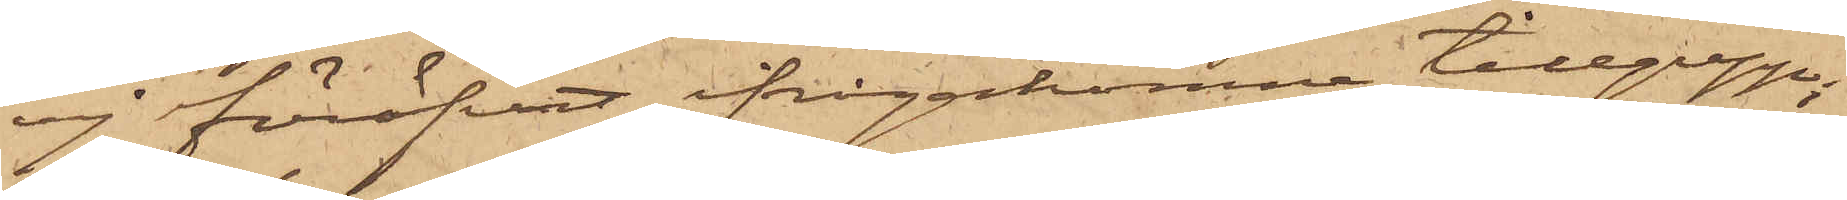ej föröfvat ifrågakomne tillgrepp;
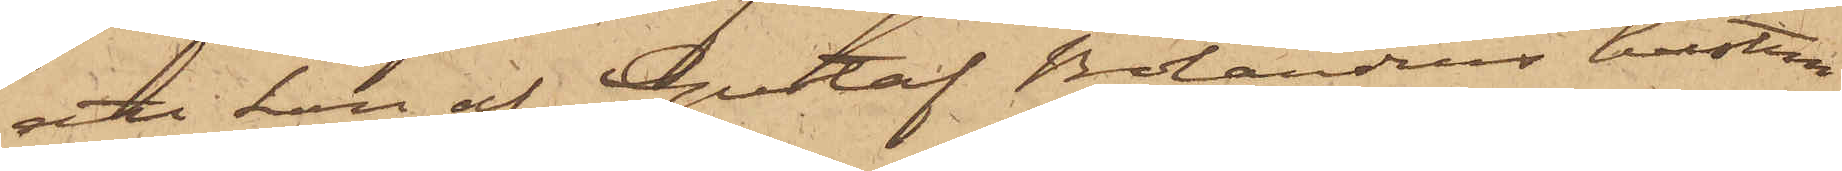att han af Gustaf Bolanders hustru
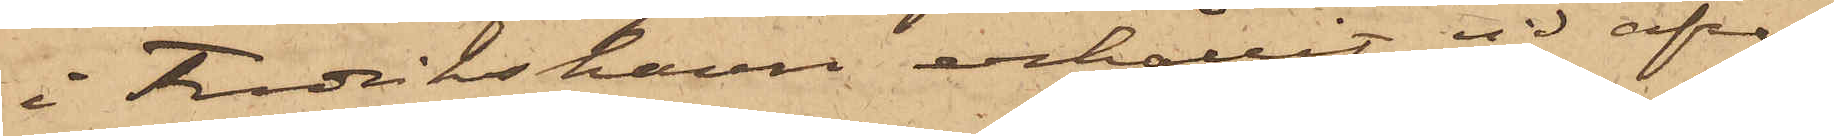i Fredrikshavn erhållit vid afre¬
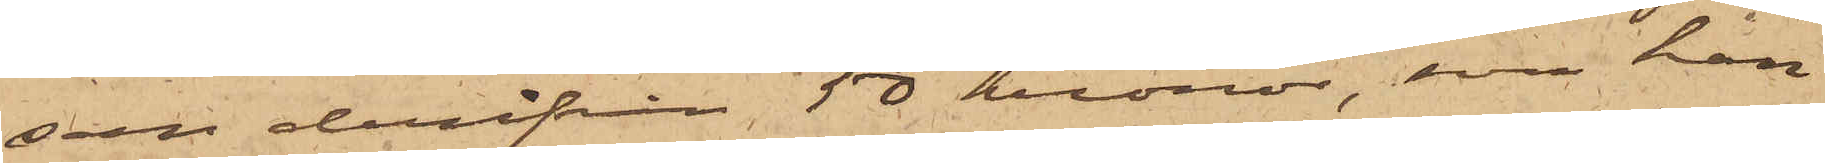san derifrån 50 kronor, som han
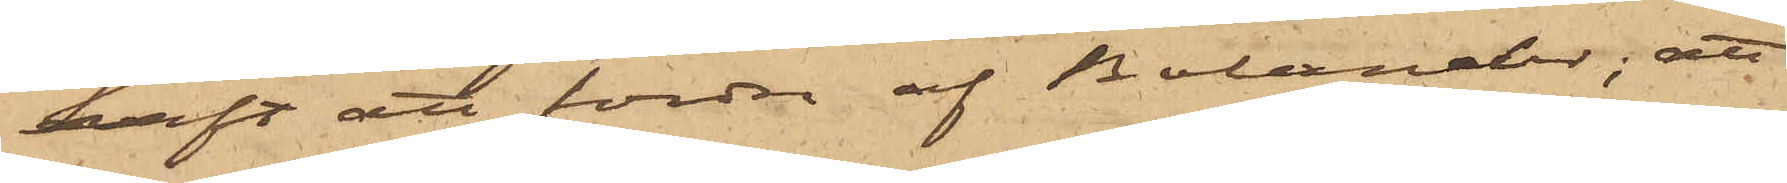haft att fordra af Bolander; att
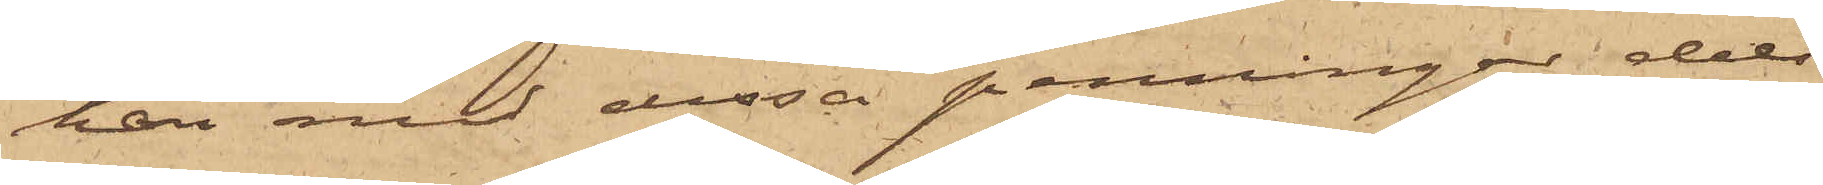han med dessa penningar dels
